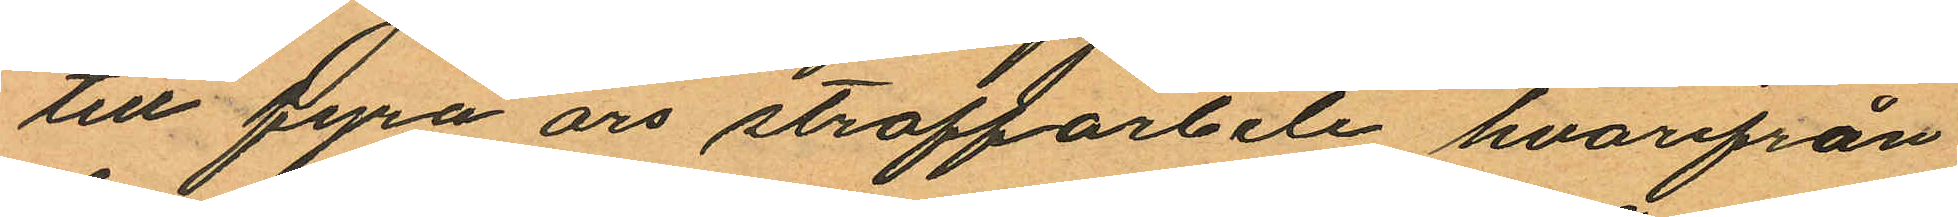till fyra års straffarbete, hvarifrån
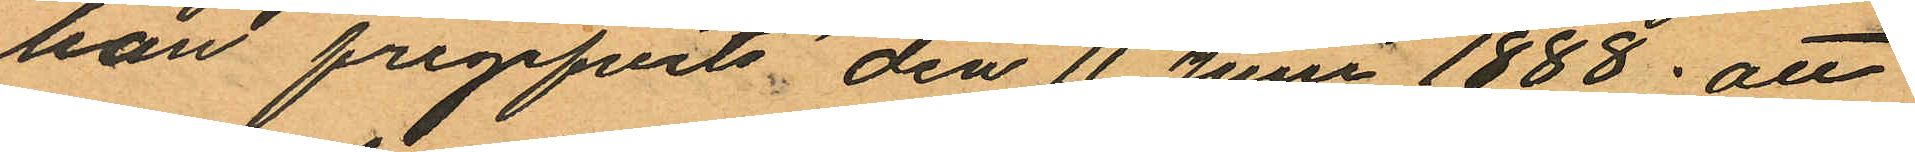han frigifvits den 11 Juni 1888; att
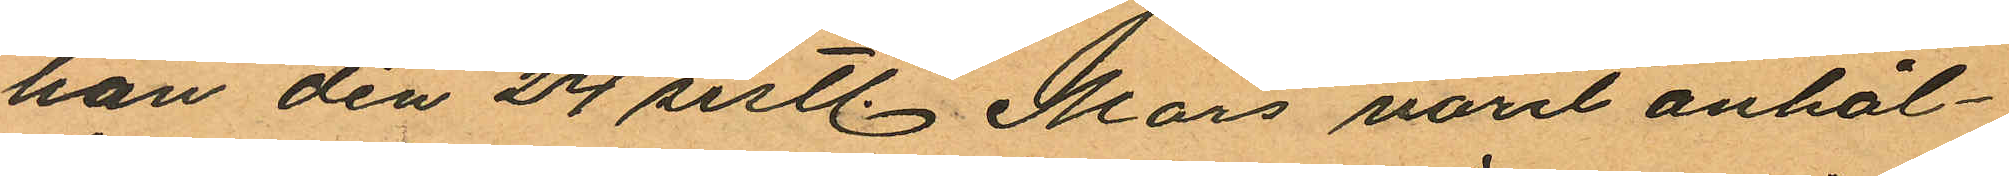han den 24 sistl Mars varit anhål¬
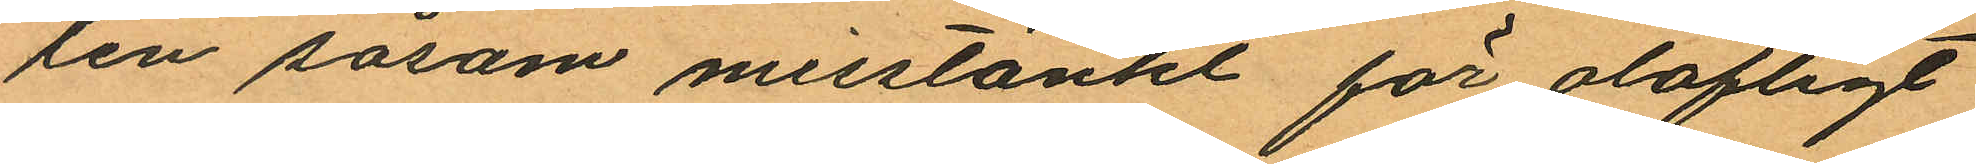len såsom misstänkt för olofligt
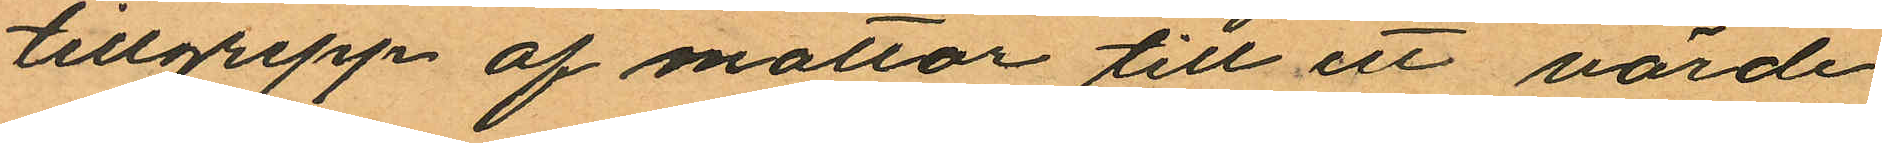tillgrepp af mattor till ett värde
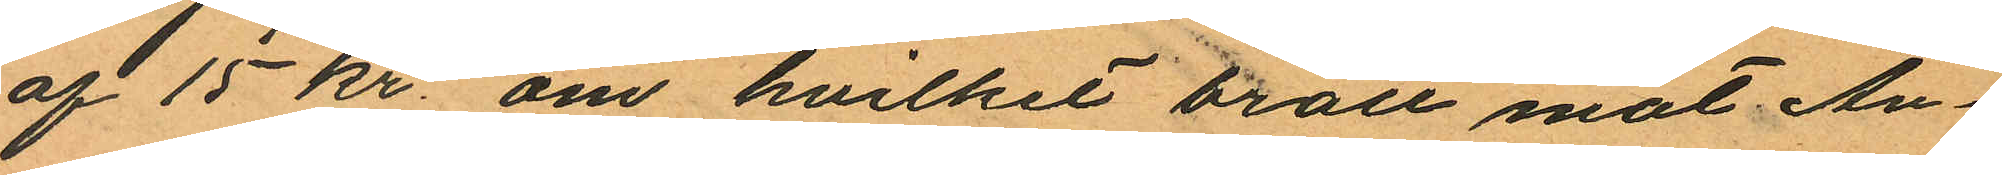af 15 kr. om hvilket brott mot An¬
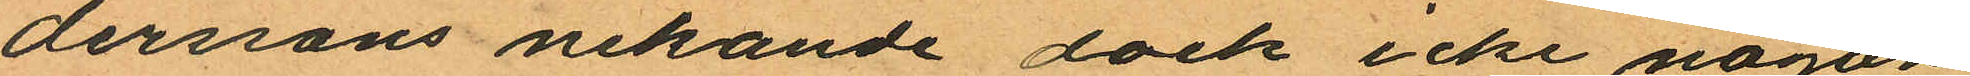dersons nekande dock icke någon
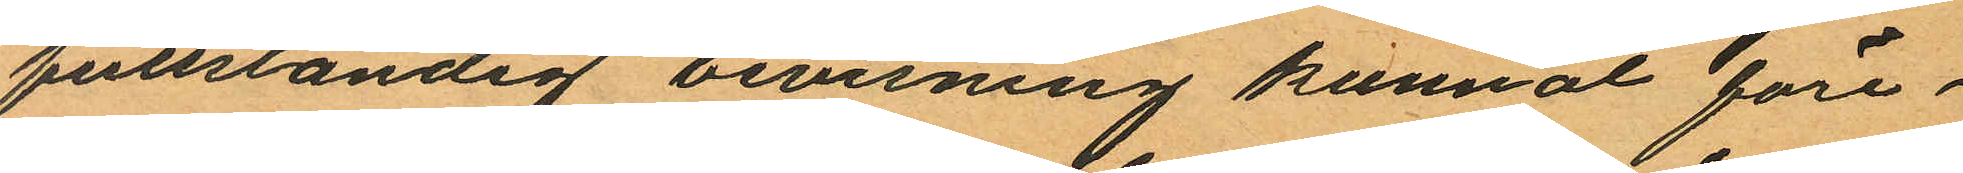fullständig bevisning kunnat före¬
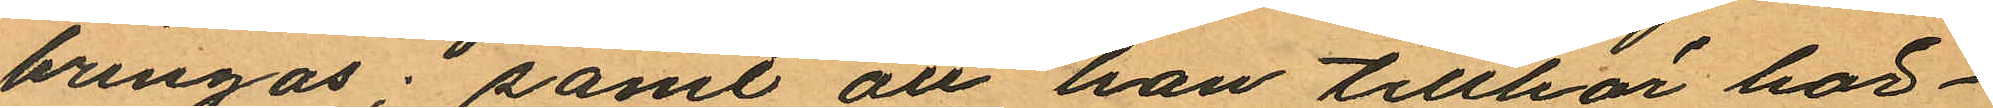bringas; samt att han tillhör här¬
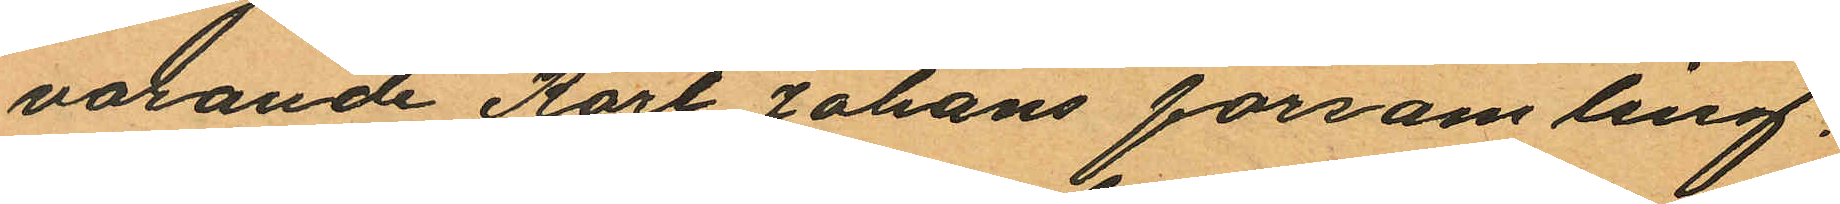varande Karl Johans församling.
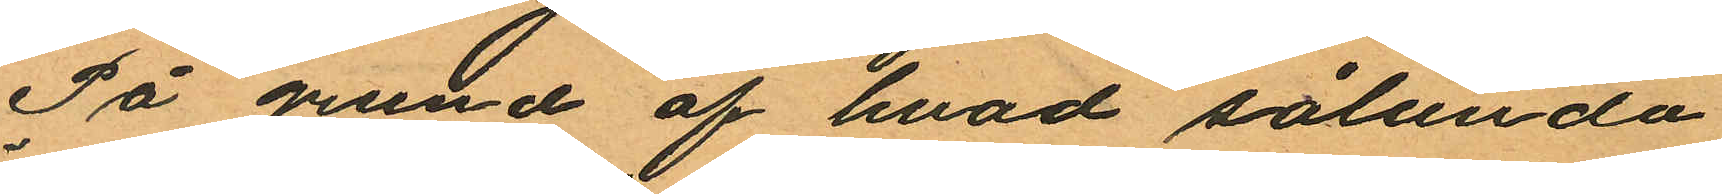På grund af hvad sålunda
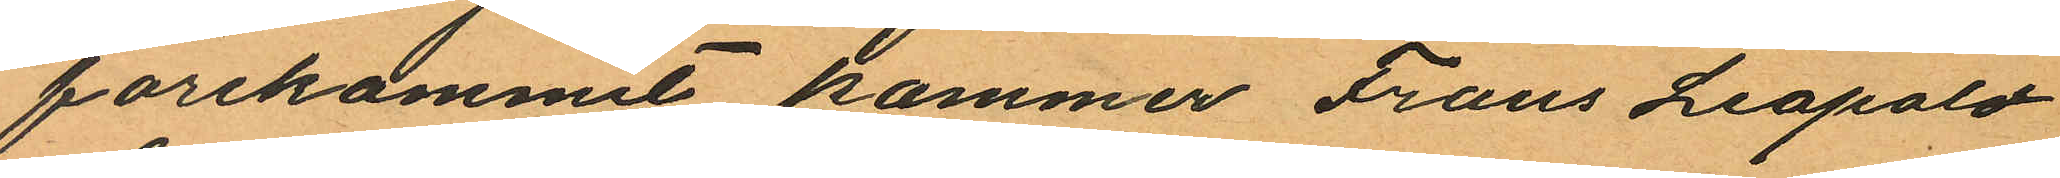förekommit kommer Frans Leopold
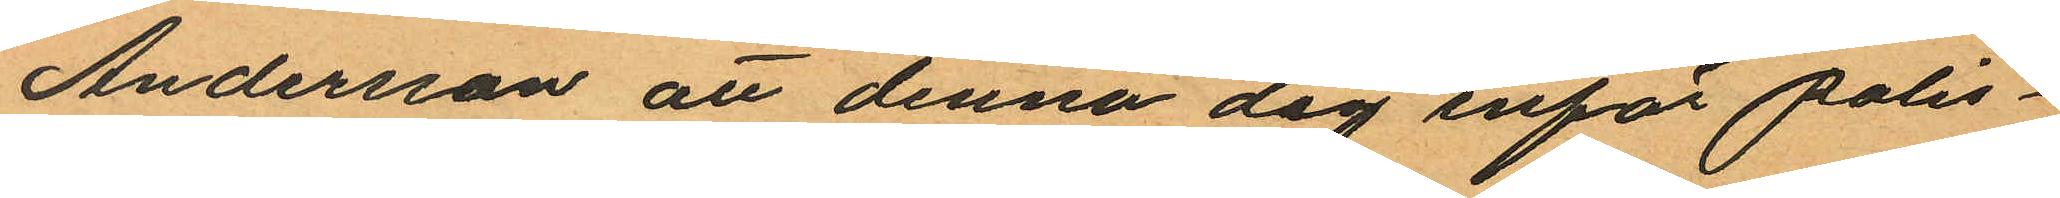Andersson att denna dag inför polis¬
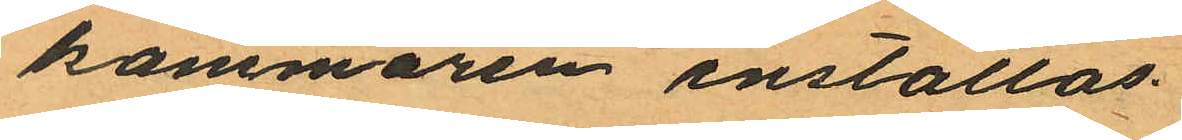kammaren inställas.
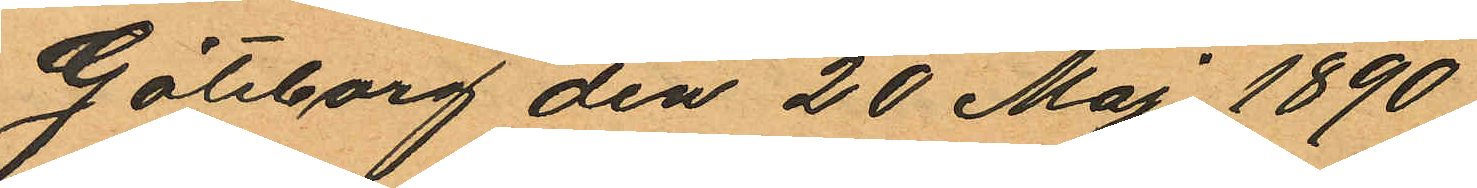Göteborg den 20 Maj 1890
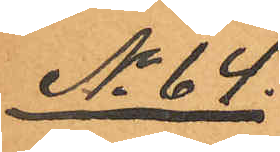No 64.
